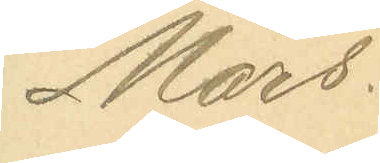Mars
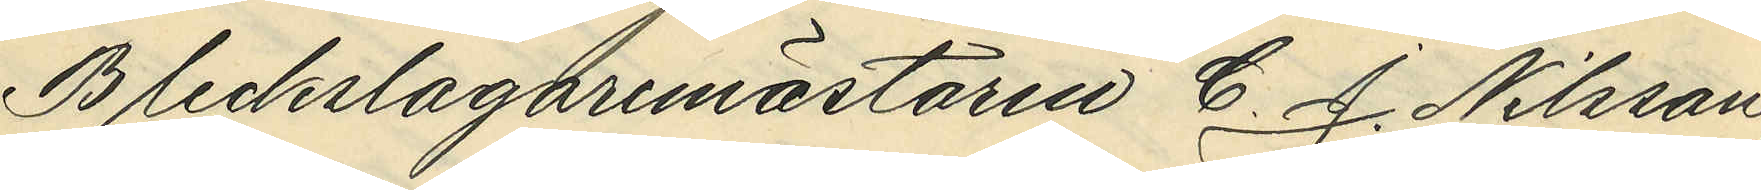Bleckslagaremästaren C. J. Nilsson,
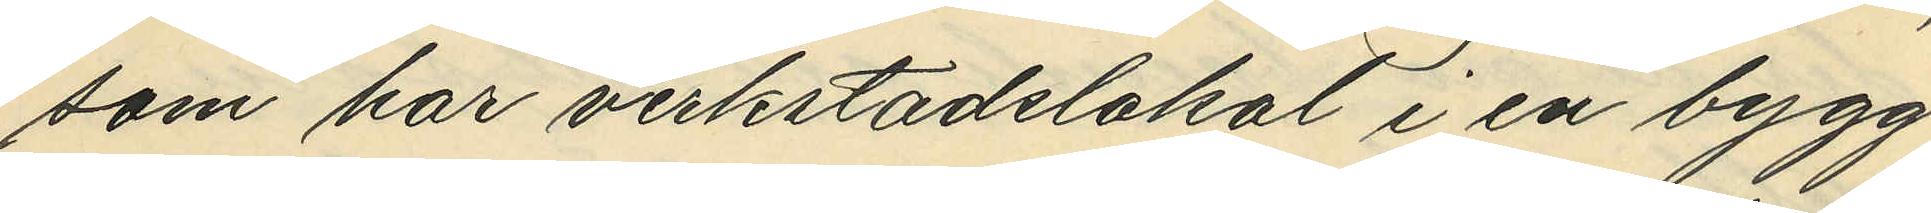som har verkstadslokal i en bygg¬
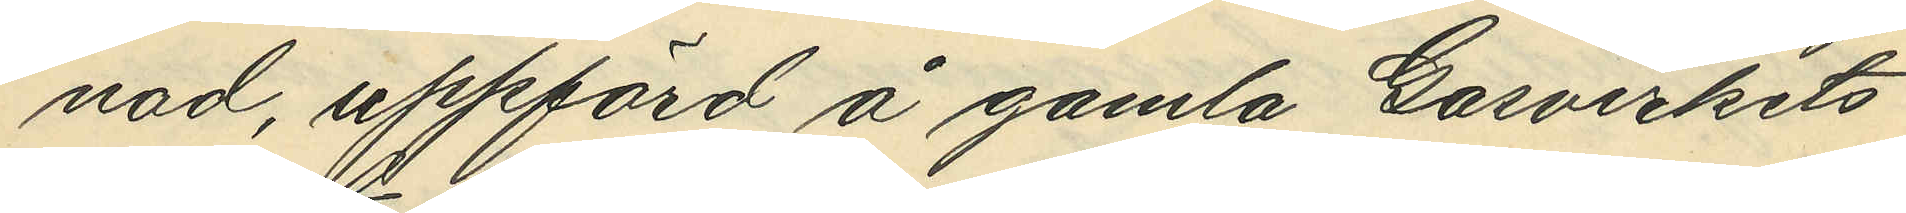nad, uppförd å gamla Gasverkets
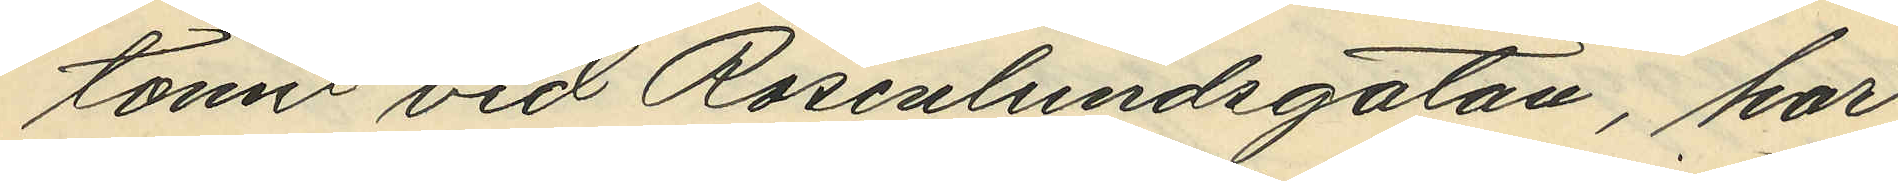tomt vid Rosenlundsgatan, har
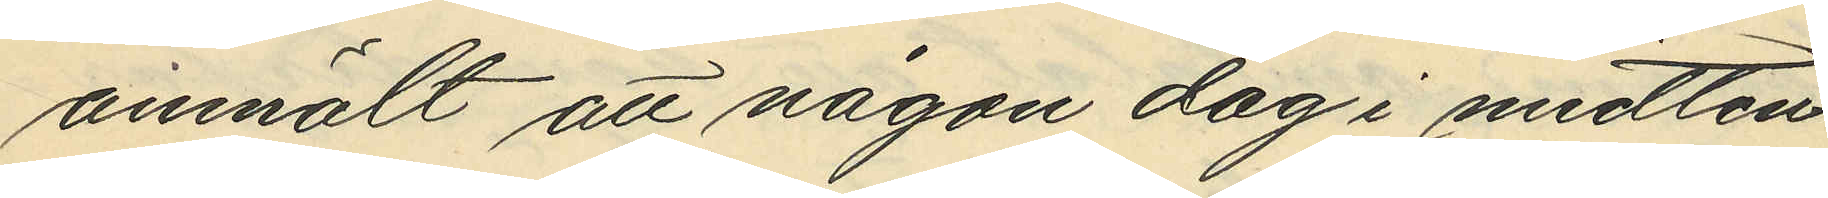anmält att någon dag i mitten
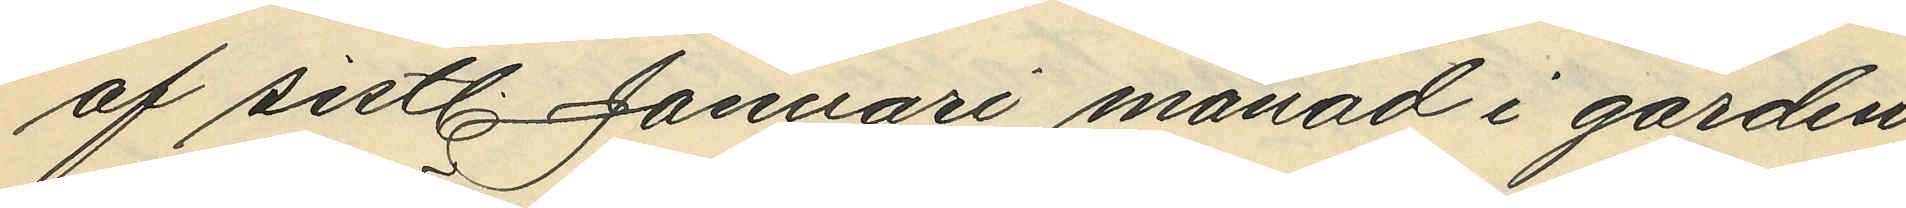af sistl. Januari månad i gården
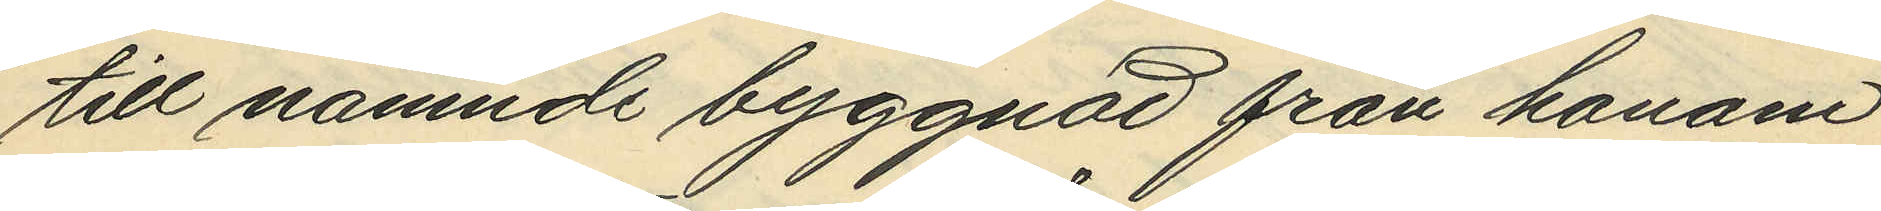till nämnde byggnad från honom
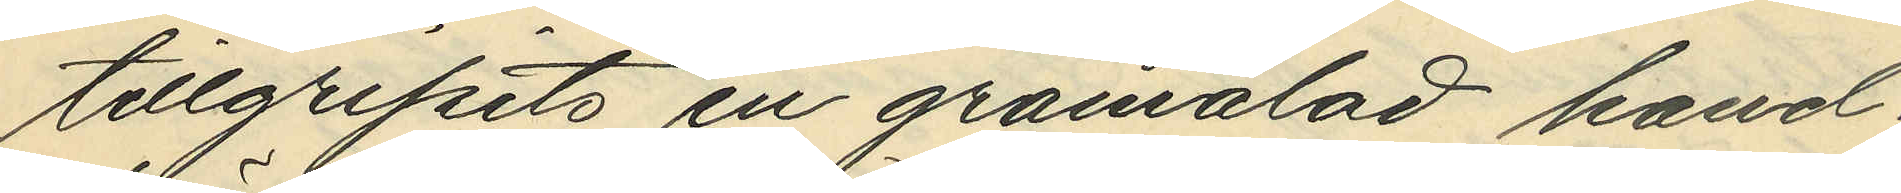tillgripits en gråmålad hand¬
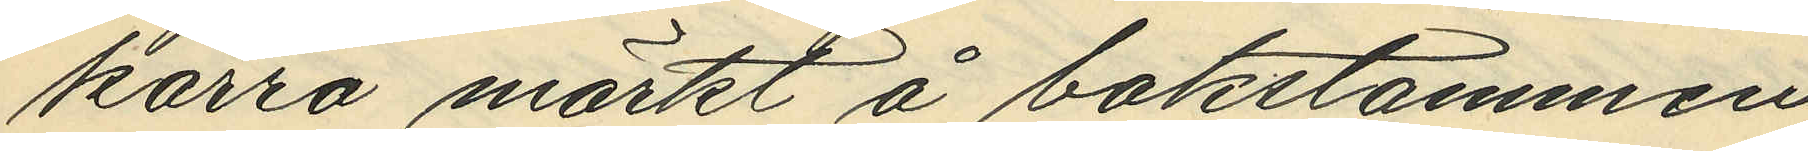kärra märkt å bakstammen
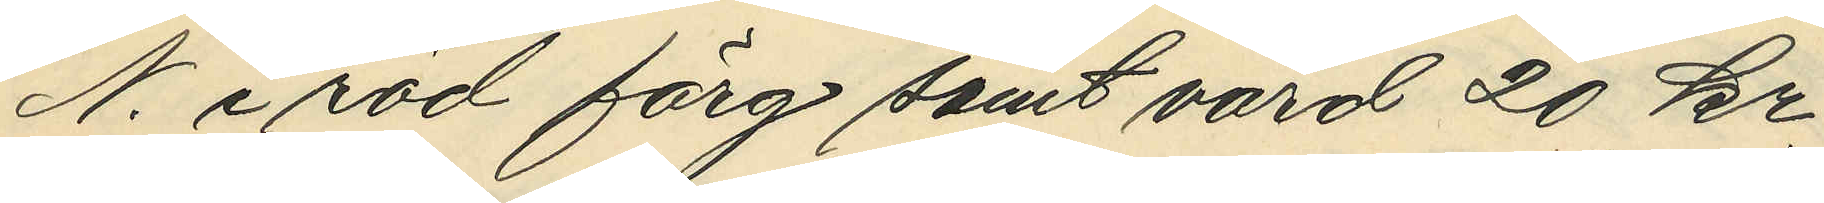N. i röd färg samt värd 20 kr.
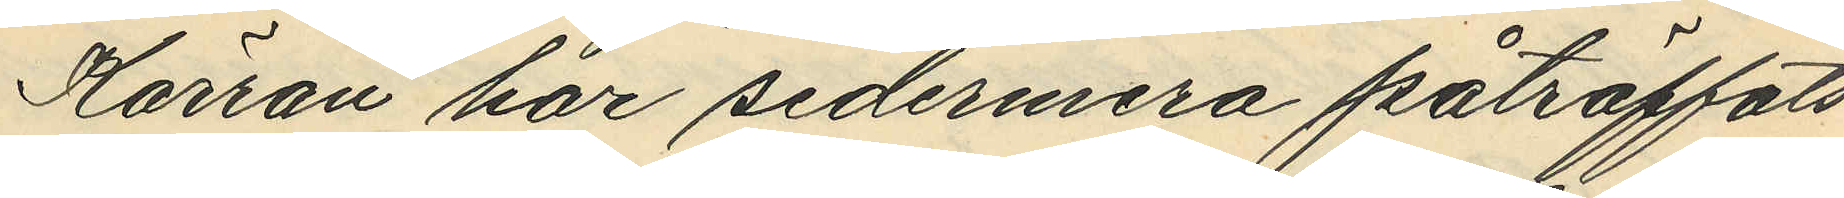Kärran har sedermera påträffats
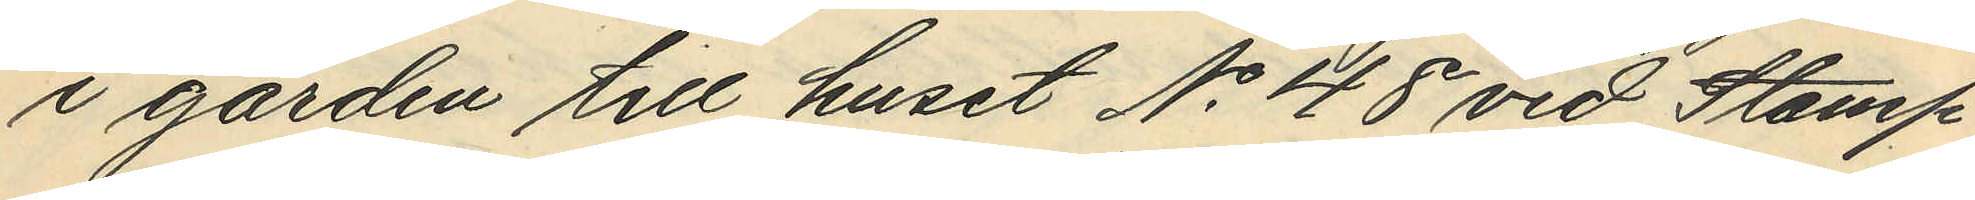i gården till huset No 48 vid Stamp¬
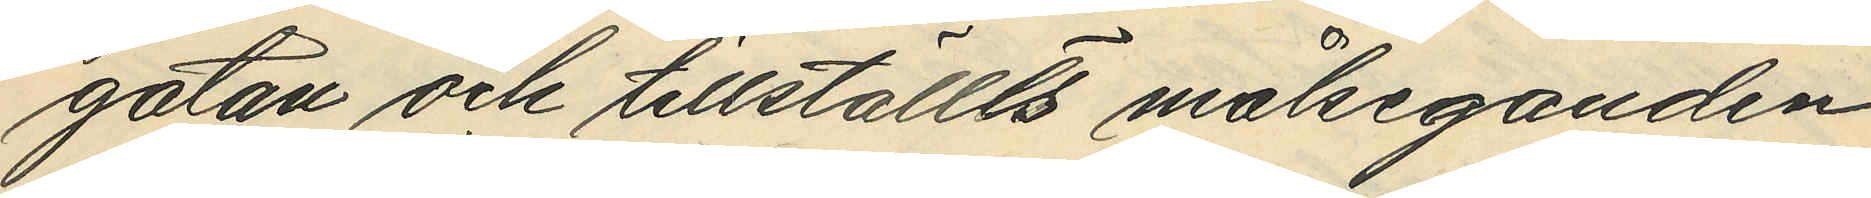gatan och tillställts målseganden.
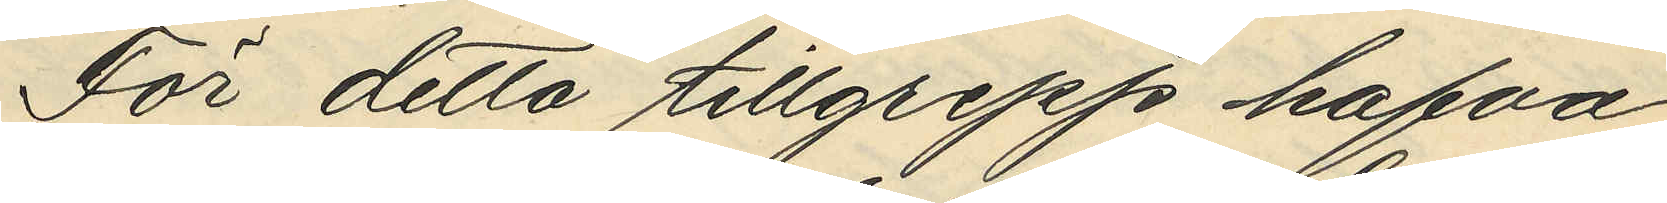Före detta tillgrepp hafva
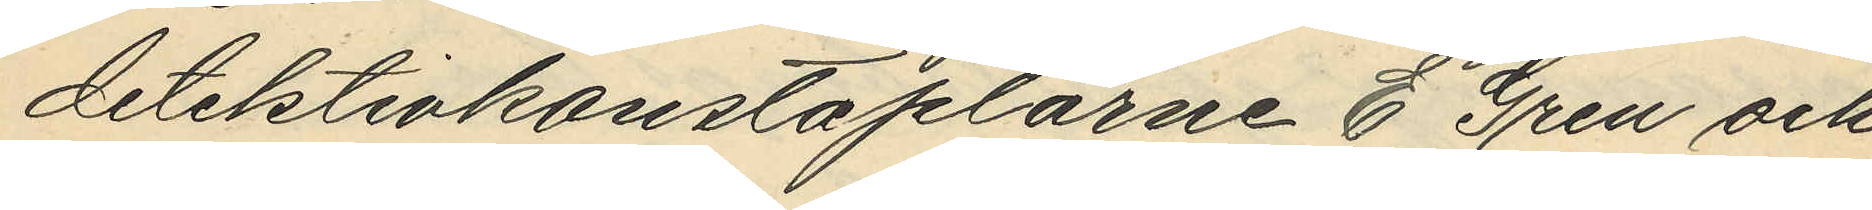detektivkontaplarne E. Gren och
